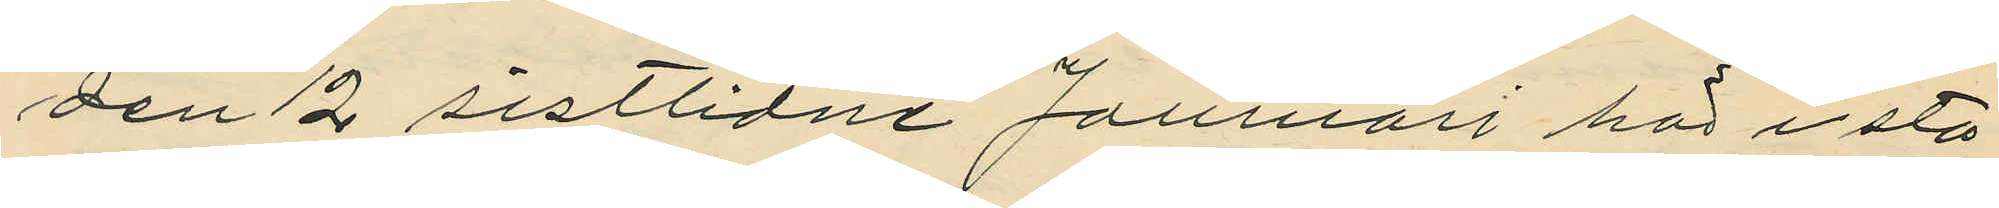den 12 sistlidne Januari här i sta¬
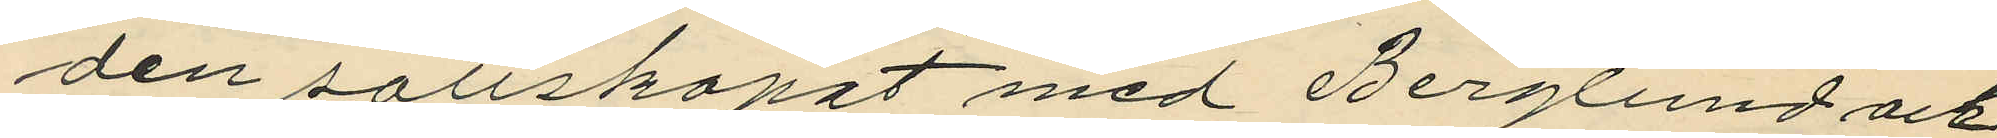den sällskapat med Berglund och
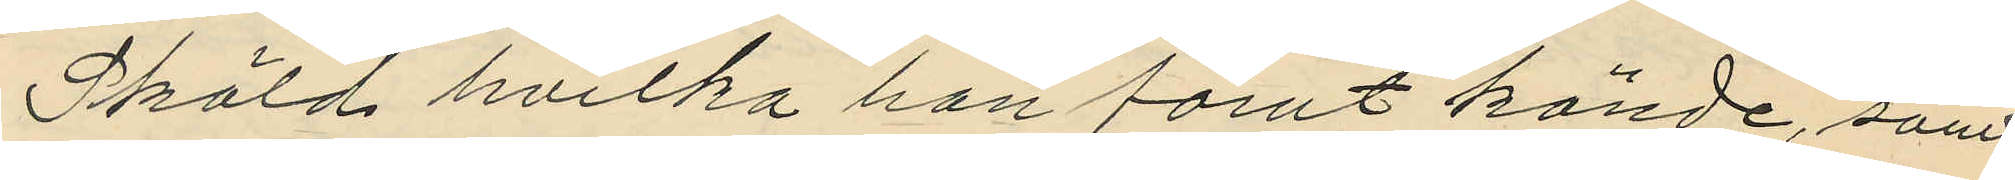Sköld hvilka han förut kände, samt
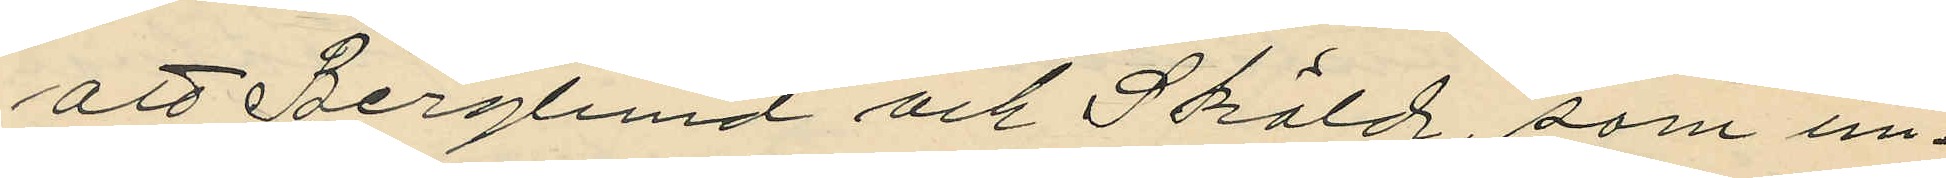att Berglund och Sköld, som in¬
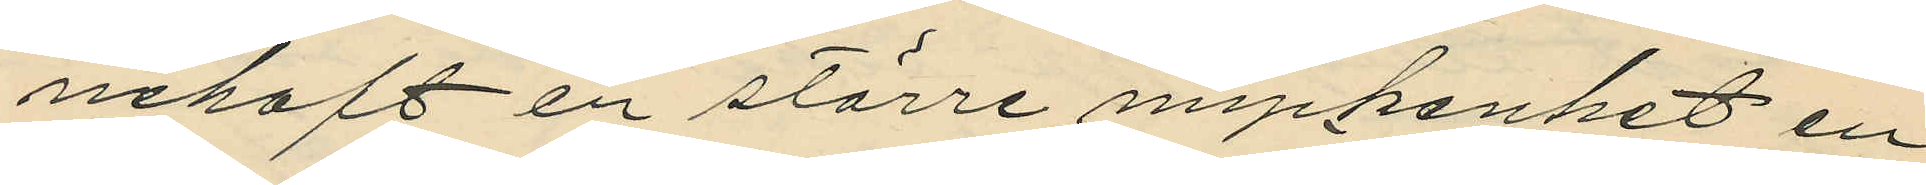nehaft en större myckenhet en
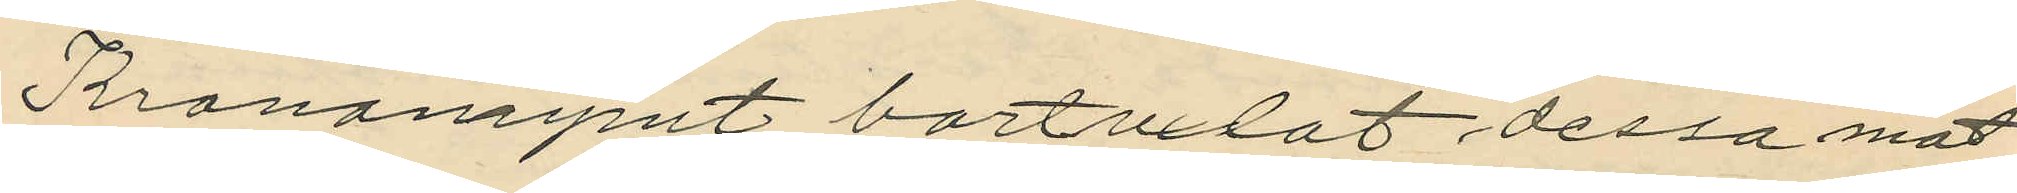Kronamynt bortvxlat dessa mot
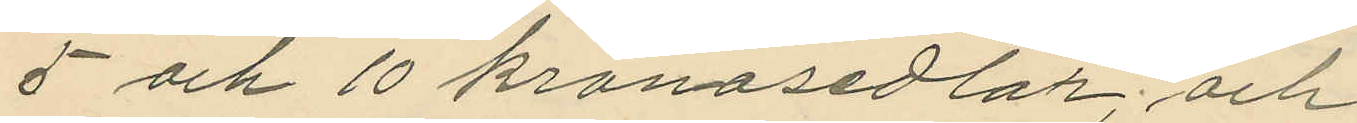5 och 10 kronasedlar; och,
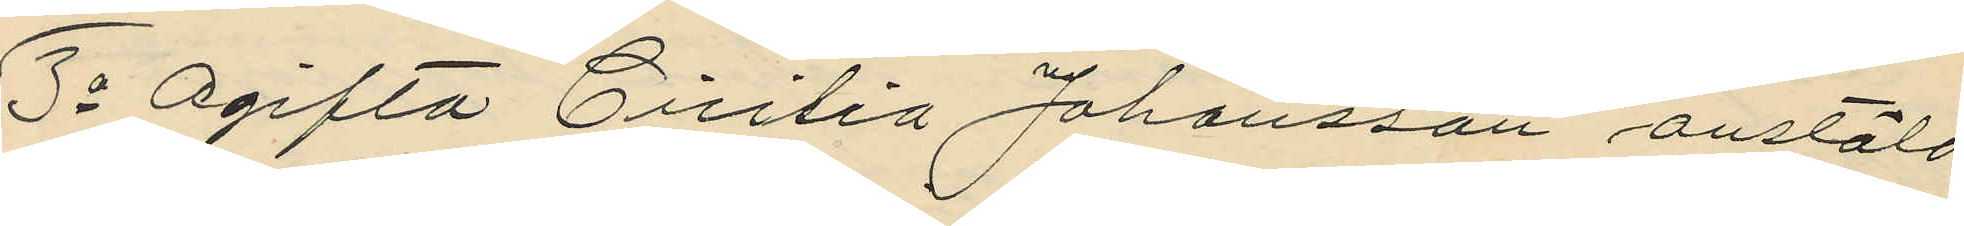3o Ogifta Cicilia Johansson anstäld
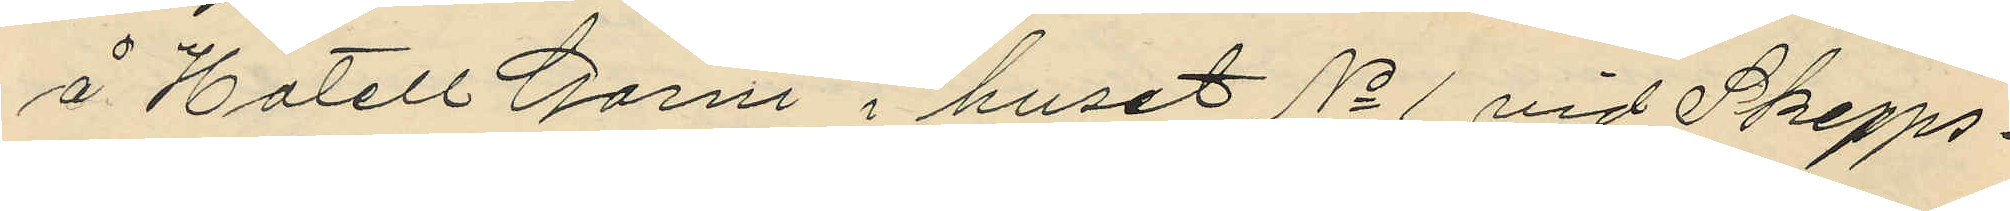å Hotell Garni i huset No 1 vid Skepps¬
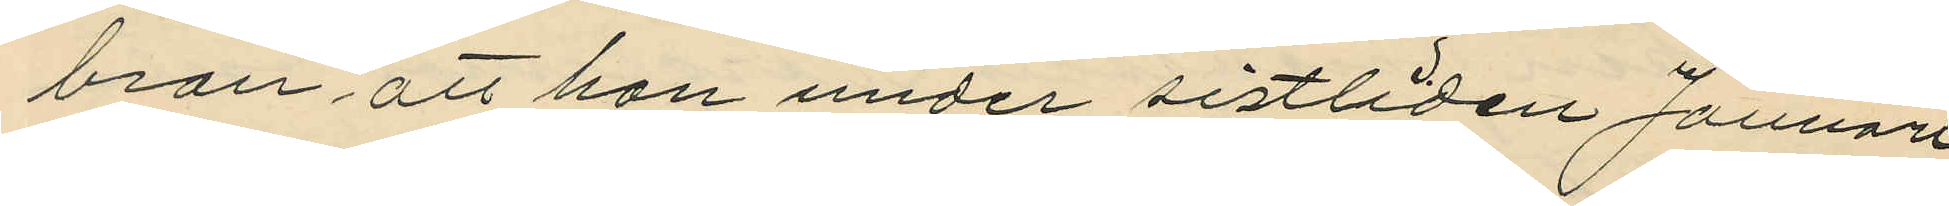bron att hon under sistliden Januari
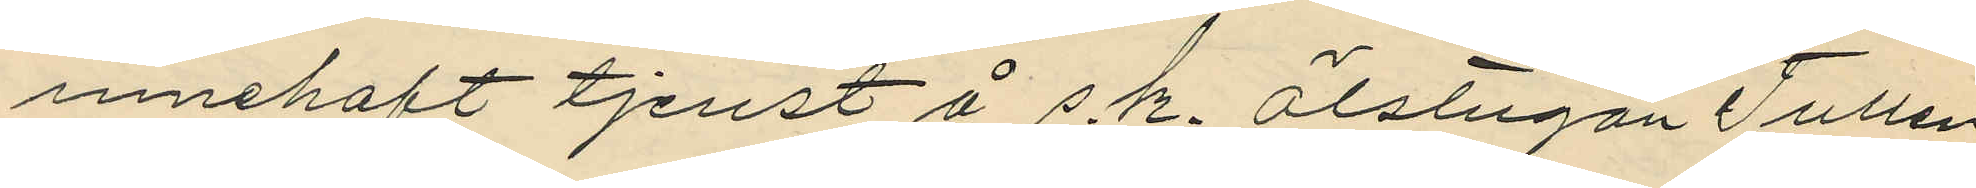innehaft tjenst å s.k. ölstugan Tullen
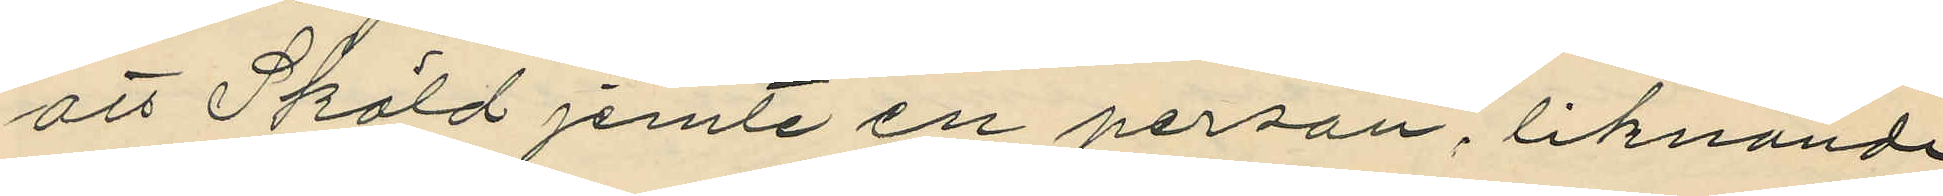att Sköld jemte en person, liknande
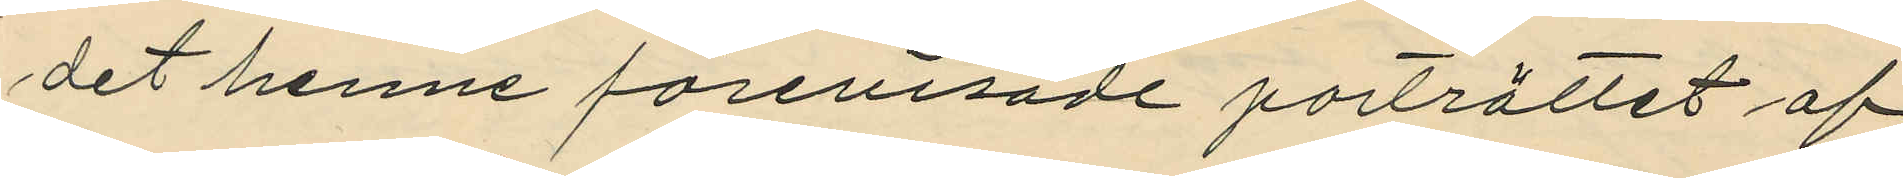det henne förevisade porträttet af
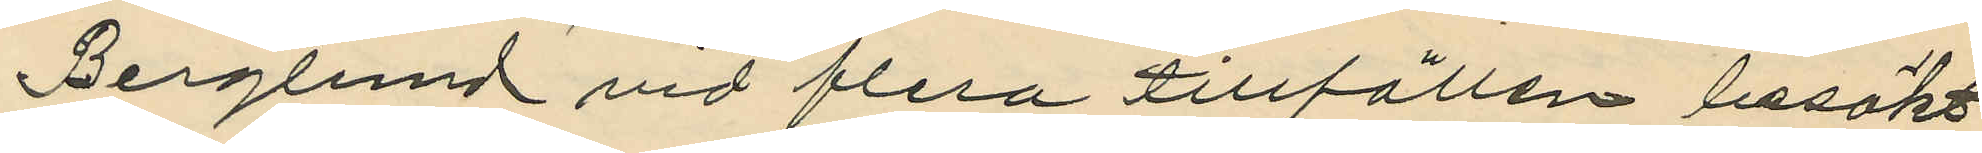Berglund vid flera tillfällen besökt
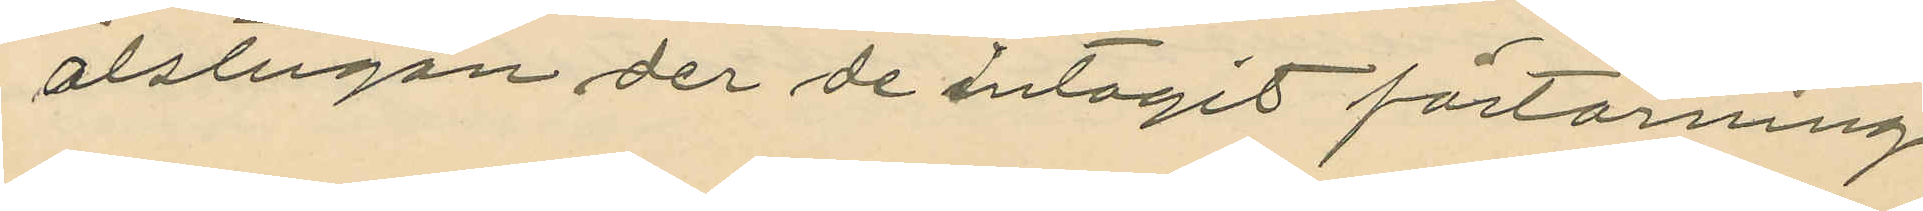ölstugan der de intagit förtärning
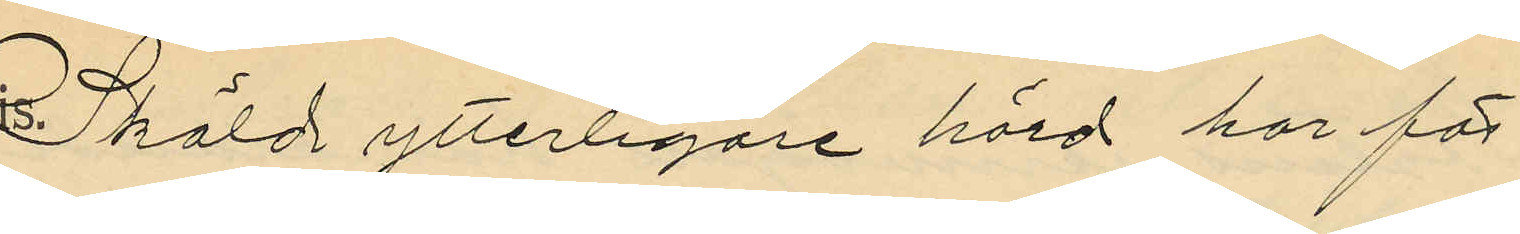Sköld ytterligare hörd har för¬
